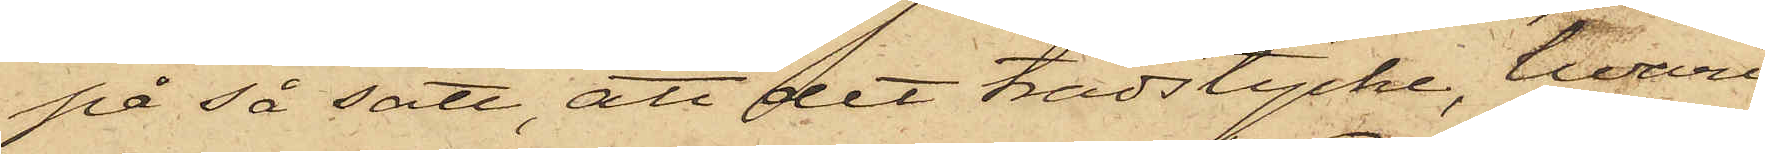på så sätt, att det trädstycke, hvari
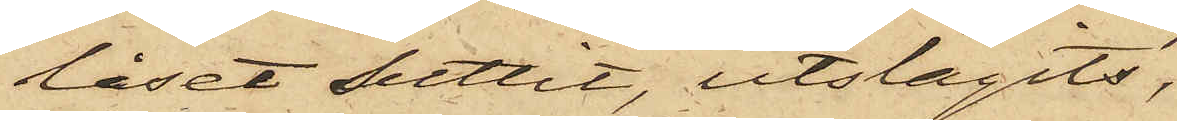låset suttit, utslagits,
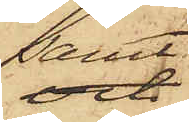samt
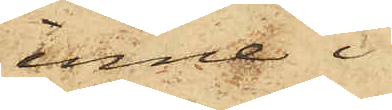inne i
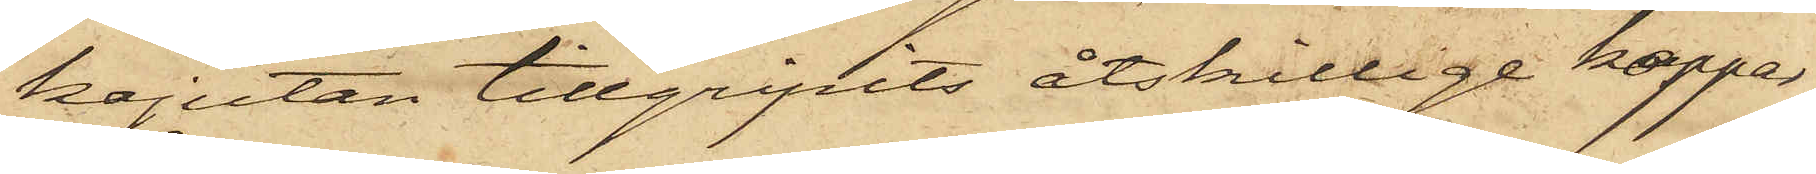kajutan tillgripits åtskillige koppar
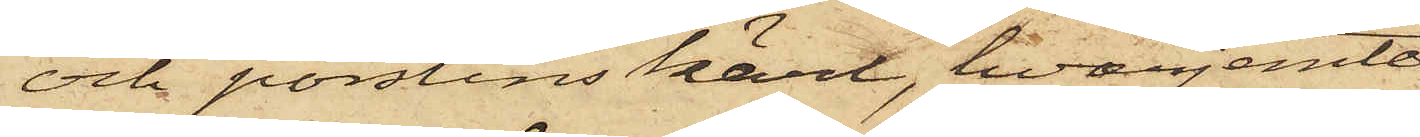och porslinskärl, hvarjemte
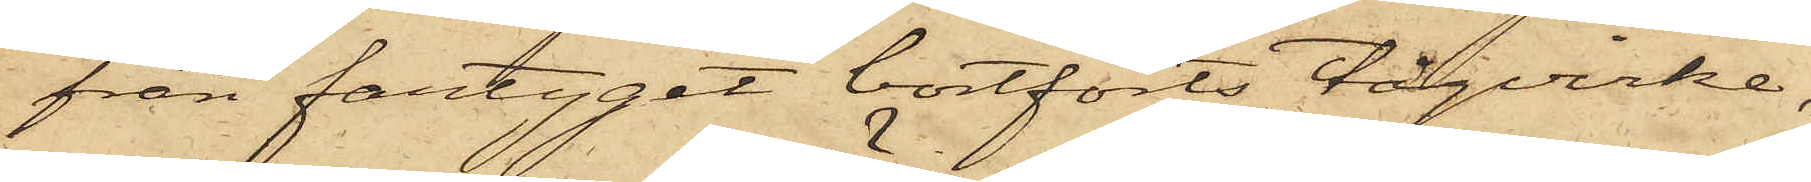från fartyget bortförts tågvirke,
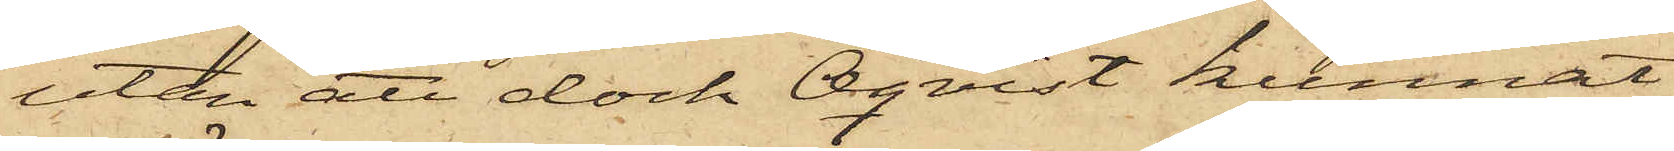utan att dock Öqvist kunnat
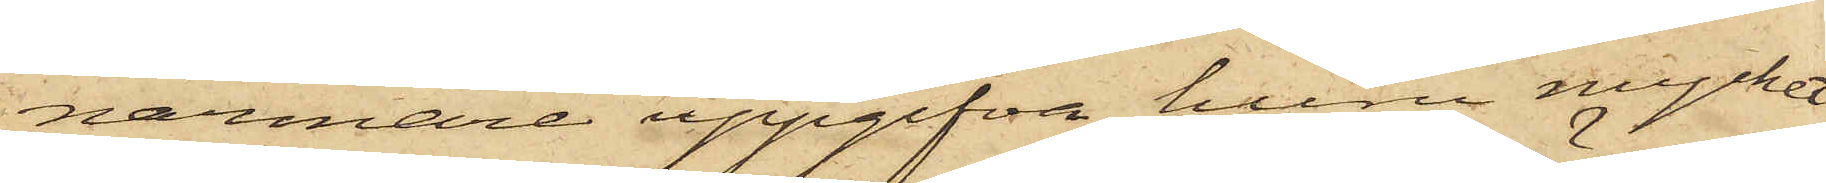närmare uppgifva huru mycket
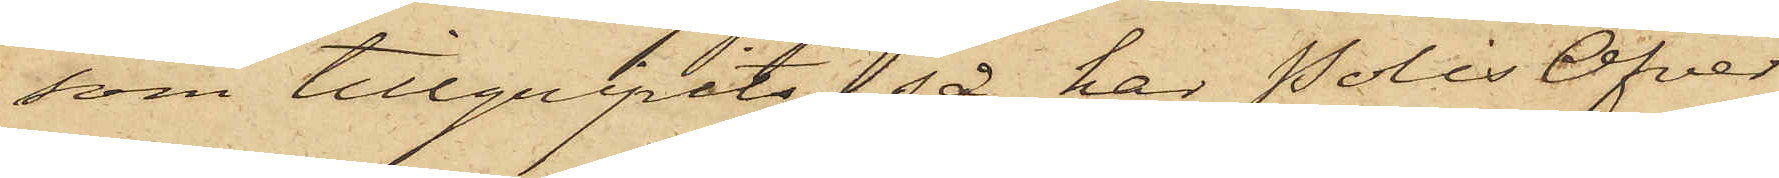som tillgripits, så har PolisÖfver¬
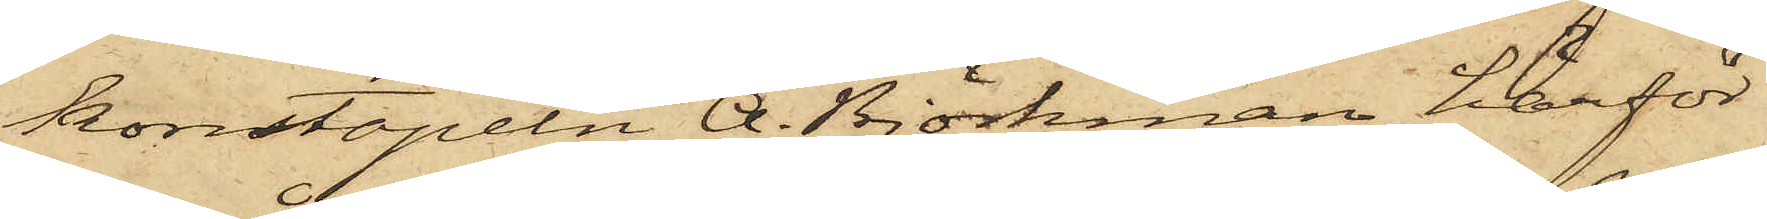konstapeln A. Björkman härför
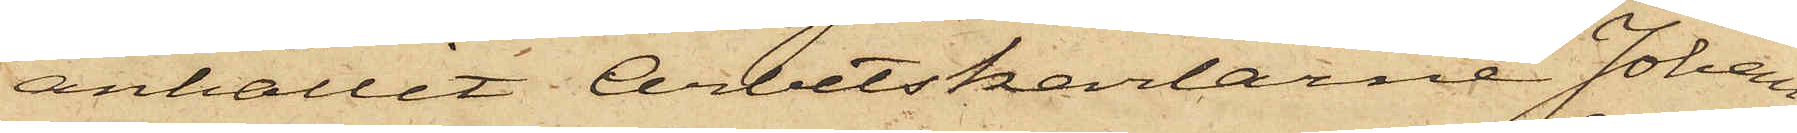anhållet Arbetskarlarne Johan
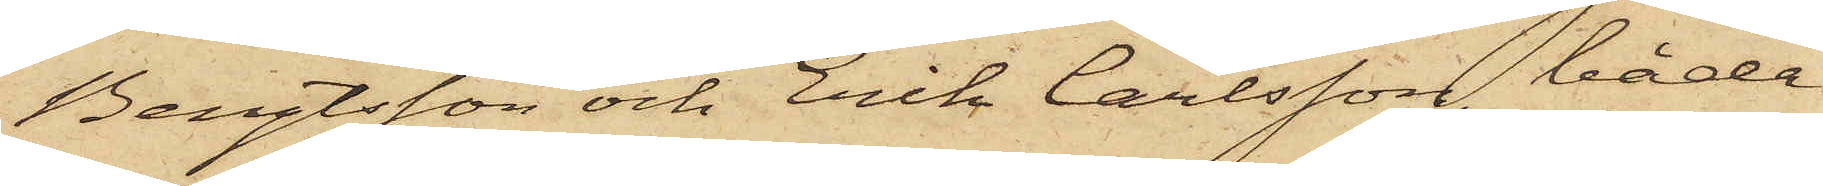Bengtsson och Erik Carlsson, båda
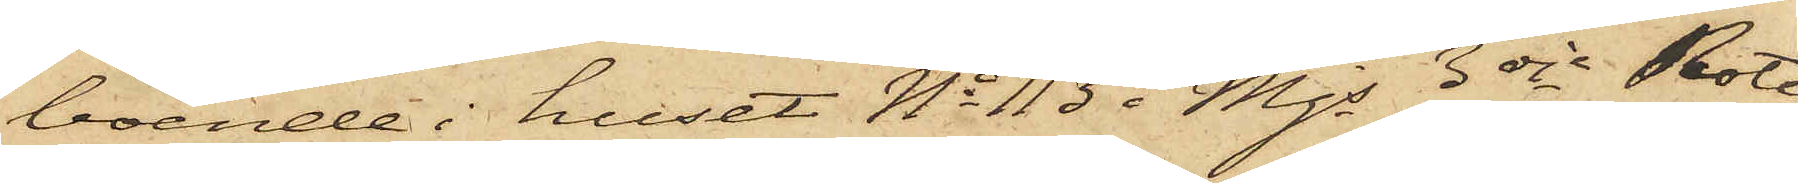boende i huset No 113 i Mjs 3dje Rote
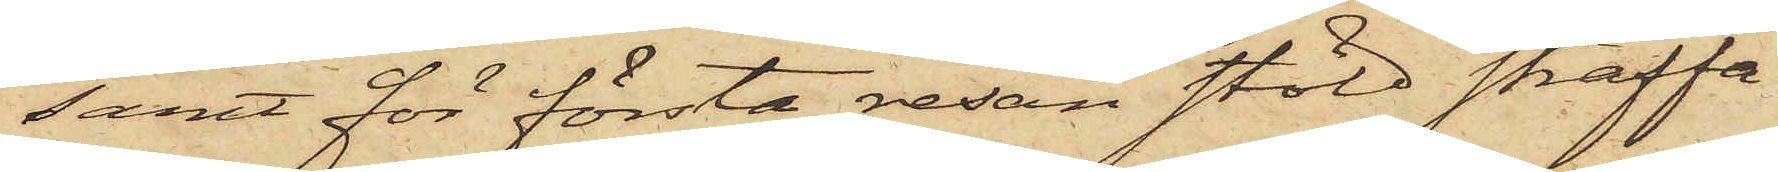samt för första resan stöld straffa¬
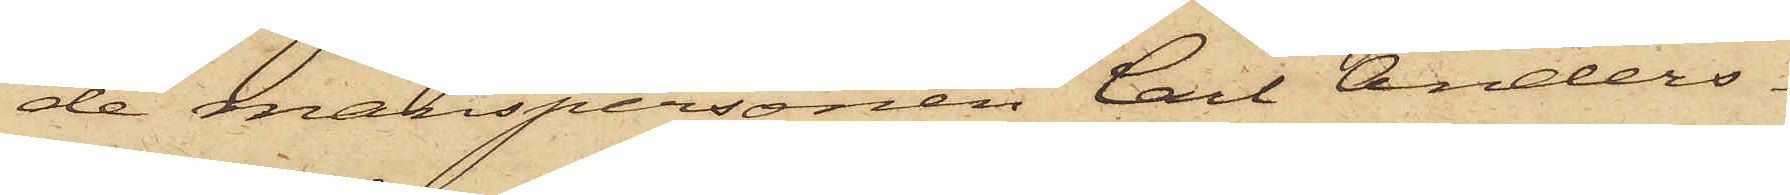de manspersonen Carl Anders¬
